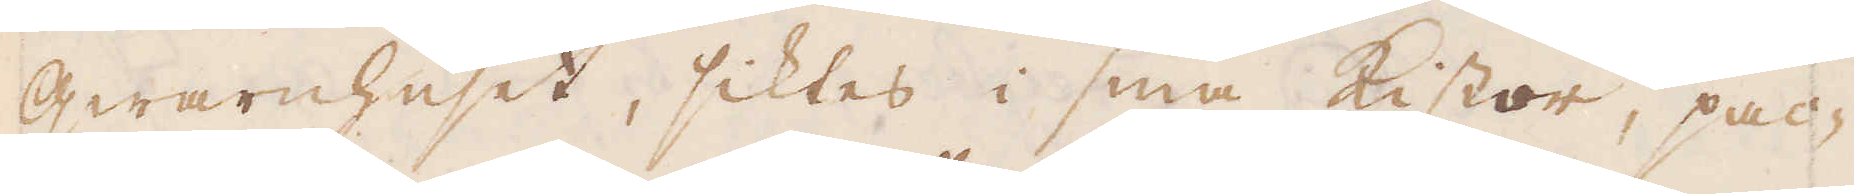qwarnhuset, siktes i sina Kistor, pac-
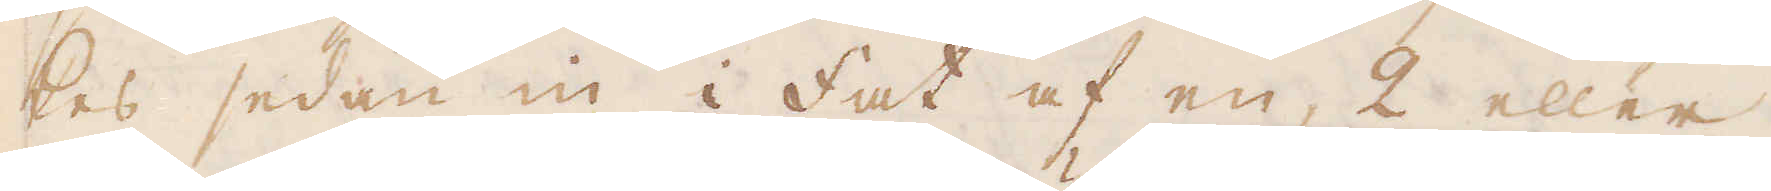kes sedan in i fat af en, 2 eller
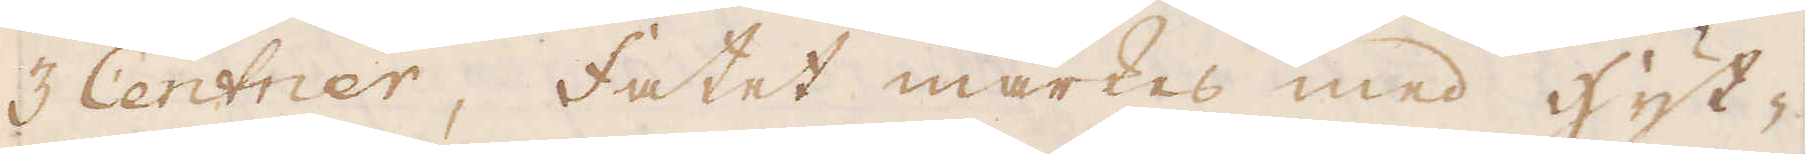3 Centner, fatet märkes med hyt-
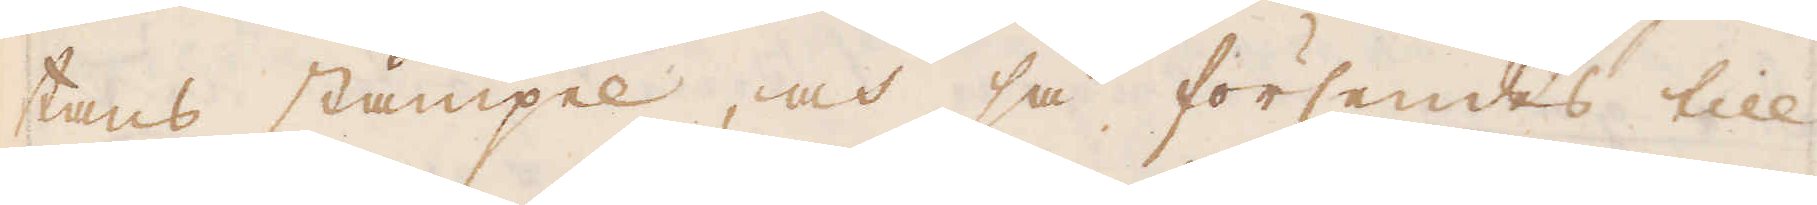tans stämpel, och så försendes till
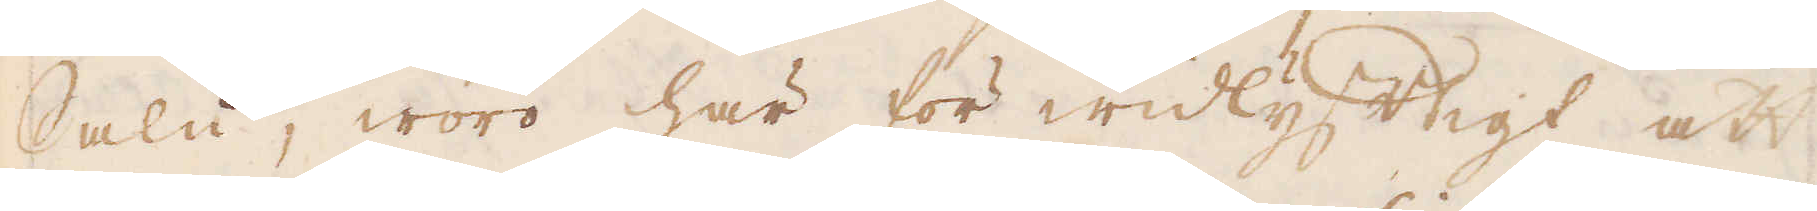Salu, woro här för widlyftigt att
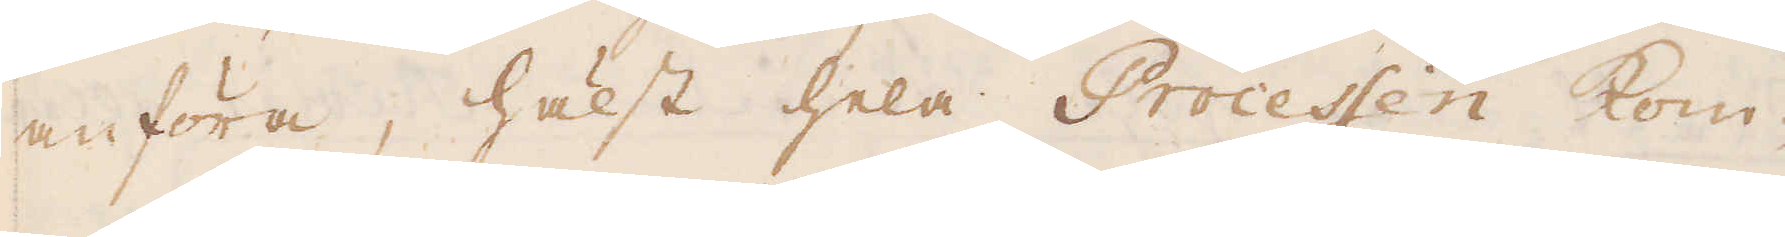anföra, hälst hela Processen kom-
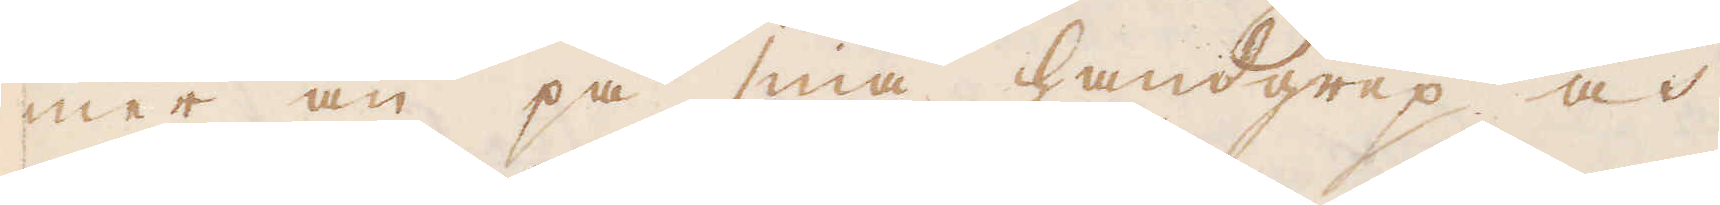mer an på sina handgrep och
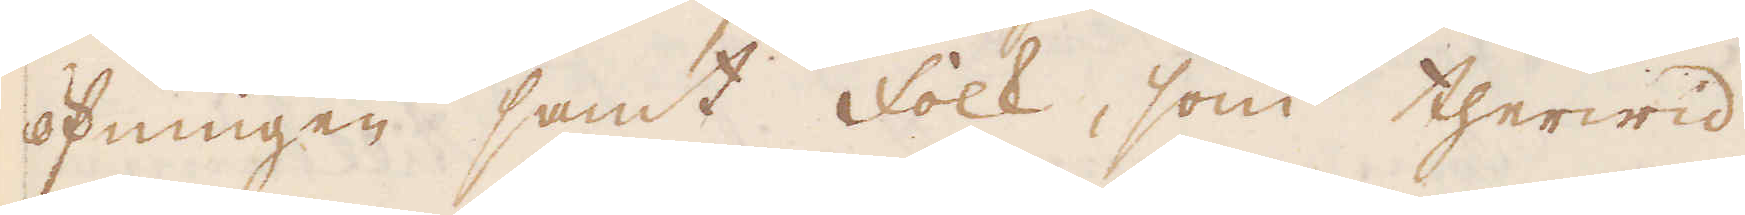öfningen samt folk, som therwid
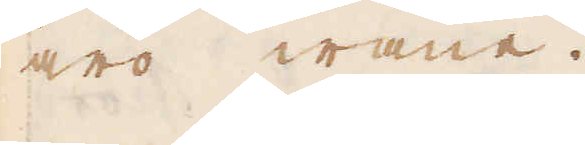äro wane.
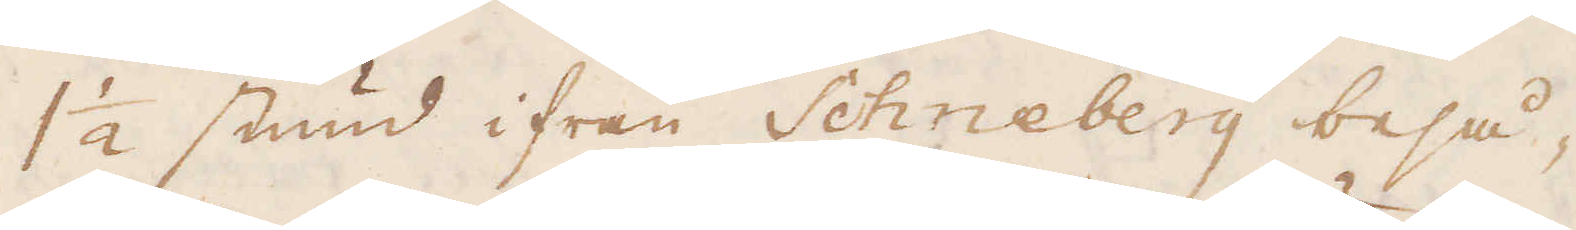1 1/2 stund ifrån Schneberg beså,
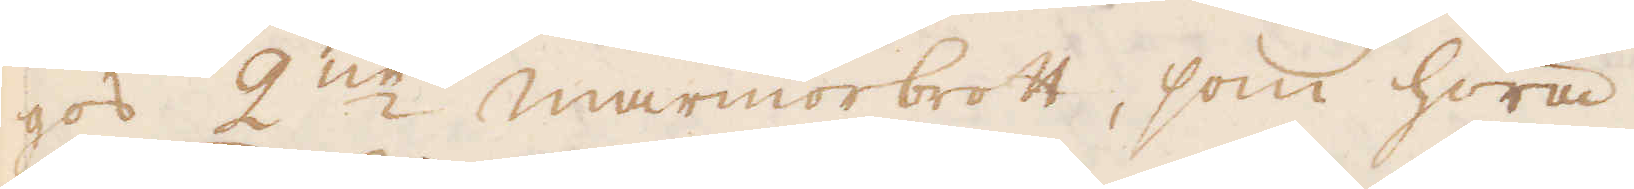gos 2:ne Marmorbrott, som höra
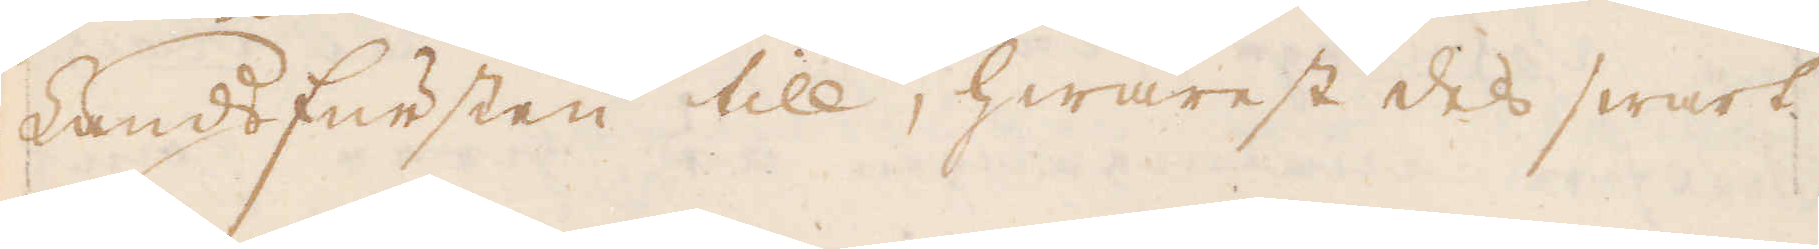Landfursten till, hwarest dels swart
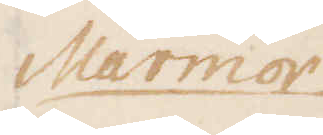Marmor
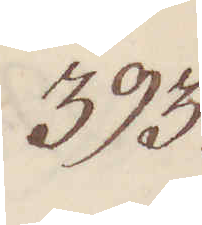393.
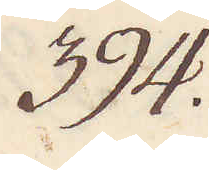394.
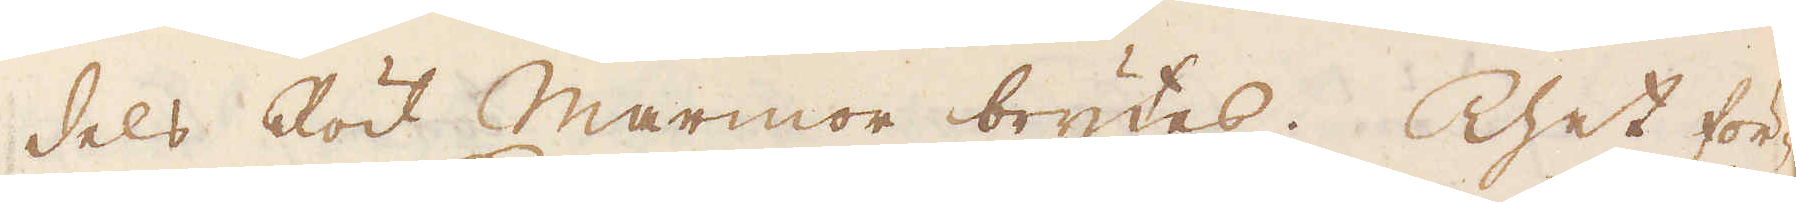dels Rödt Marmor brytes. Thet för-
